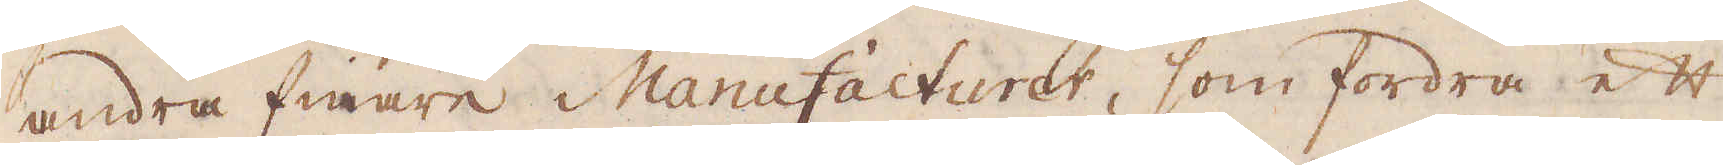andra finare Manufacturar, som fordra ett
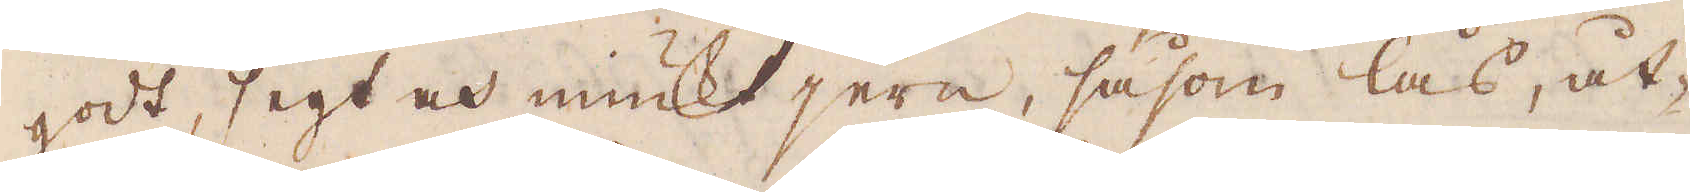godt, segt och miukt jern, såsom lås, åt-
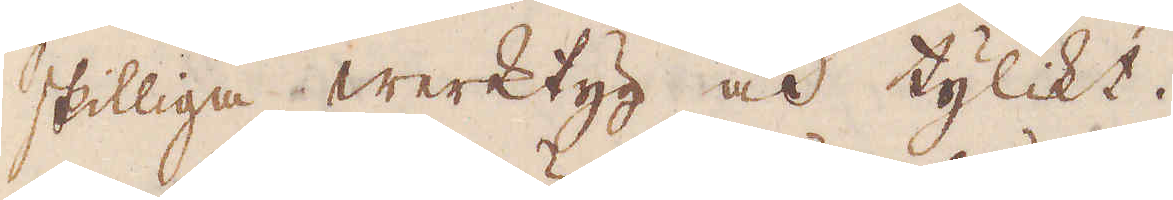skilliga werktyg och tylikt.
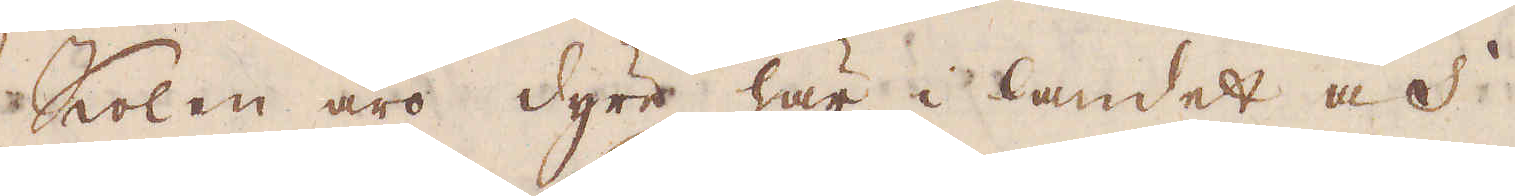Kolen äro dyrr här i landet och
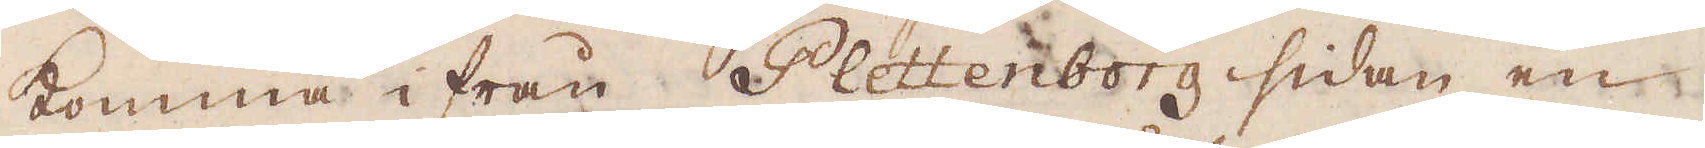komma ifrån Plettenborg-sidan en
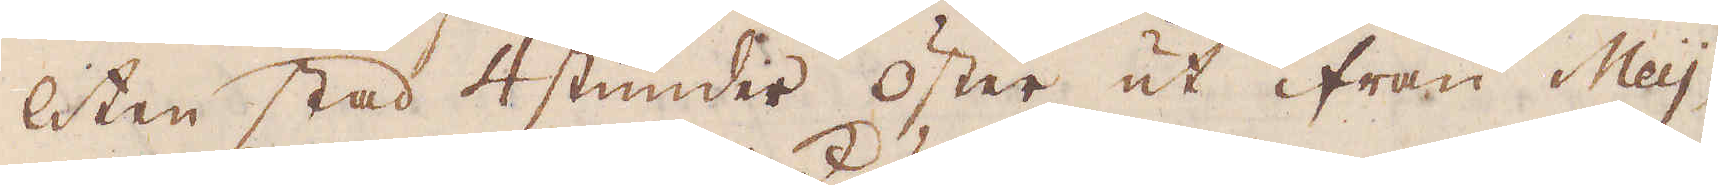liten stad 4 stunder öster ut ifrån Mey-
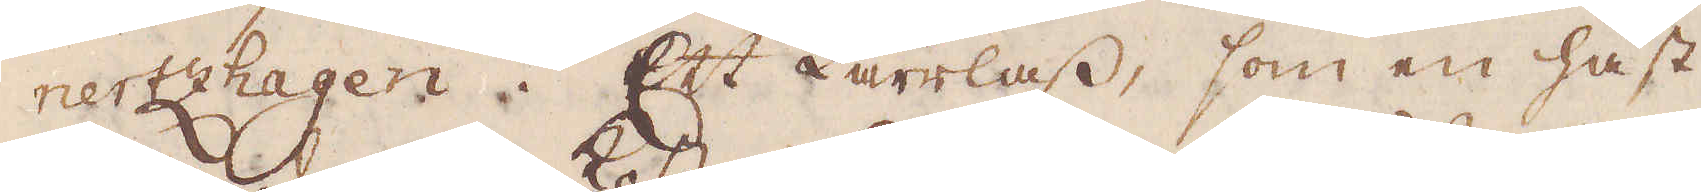nerthagen. Ett kärrlass, som en häst
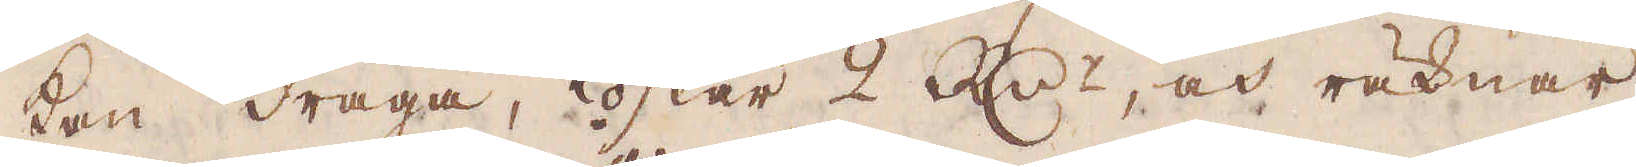kan draga, kostar 2 R:dr, och räknar
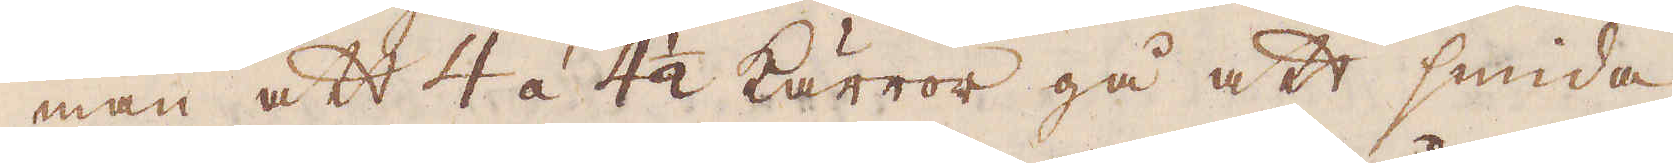man att 4 á 4 1/2 kärror gå att smida
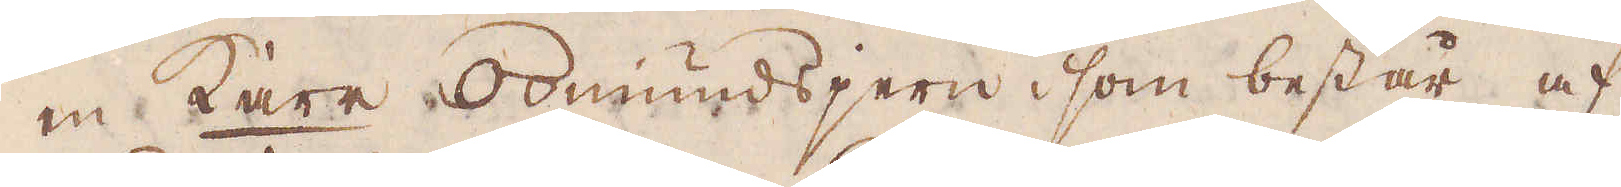en Karr Odmundsjern, som består af
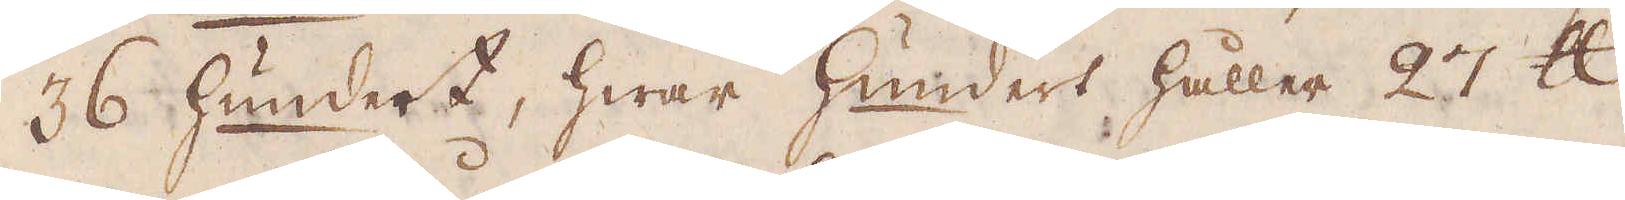36 hundert, hwar hundert håller 27 skålpund.
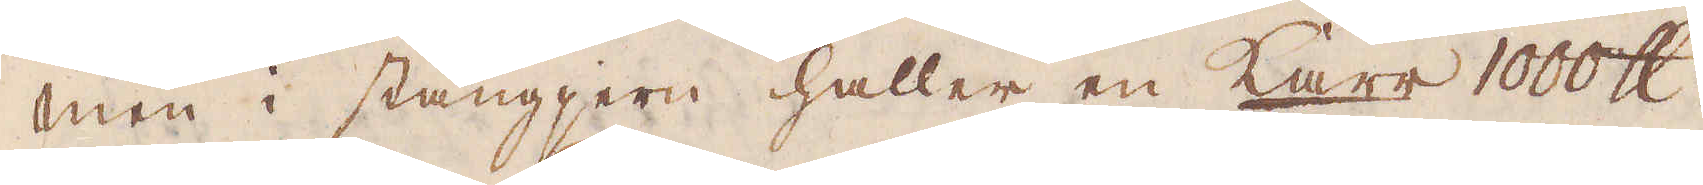Men i stångjern håller en Kärr 1000 skålpund.
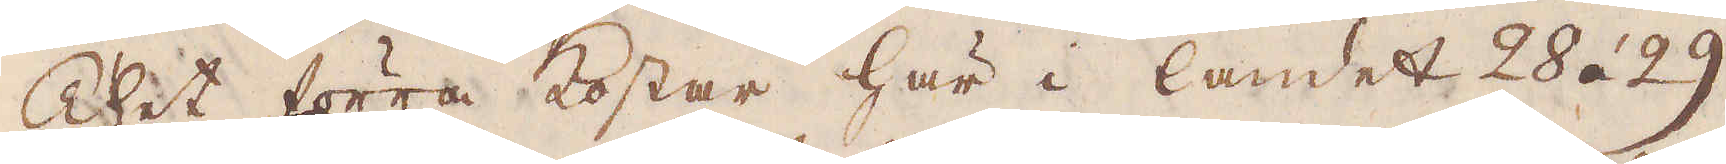Thet förra kostar här i landet 28 á 29
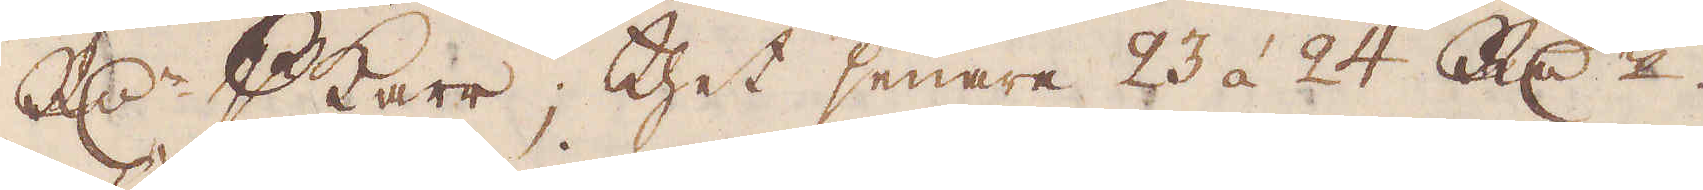R:dr p karr; thet senare 23 à 24 R:dr z.
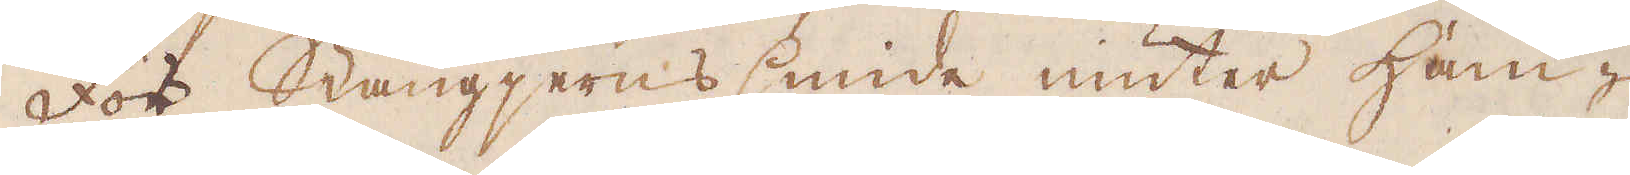För Stångjerns smide niuter Ham-
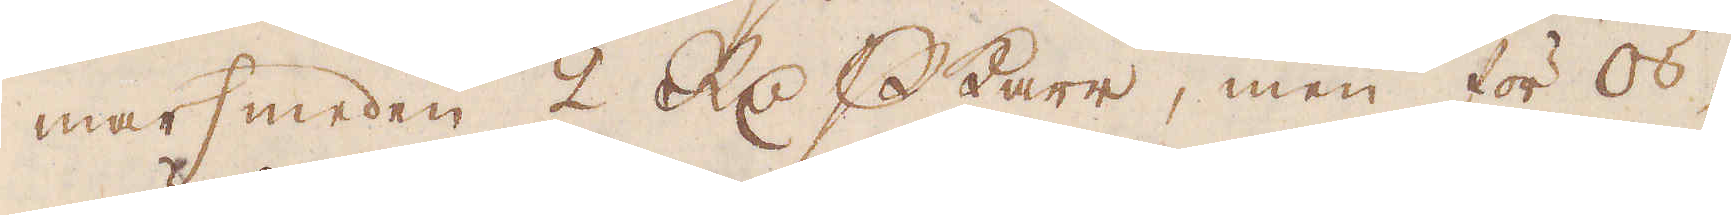marsmeden 2 R:dr p karr, men för Os-
